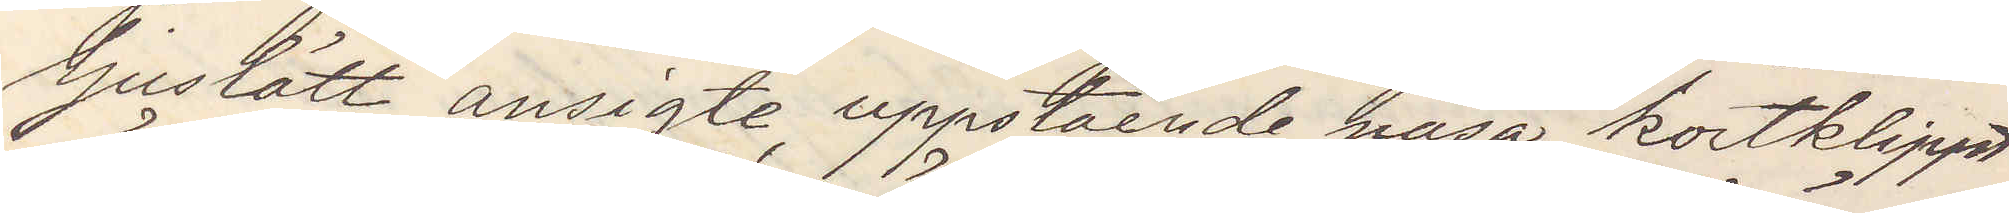ljuslätt ansigte, uppstående näsa kortklippt
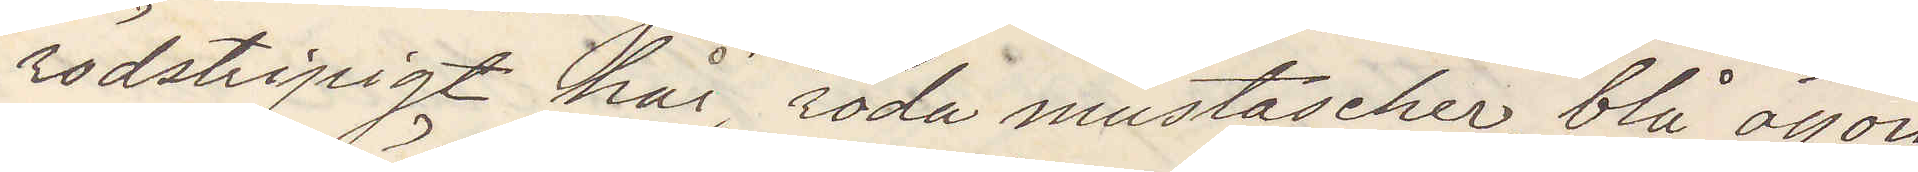rödstripigt hår, röda mustascher, blå ögon
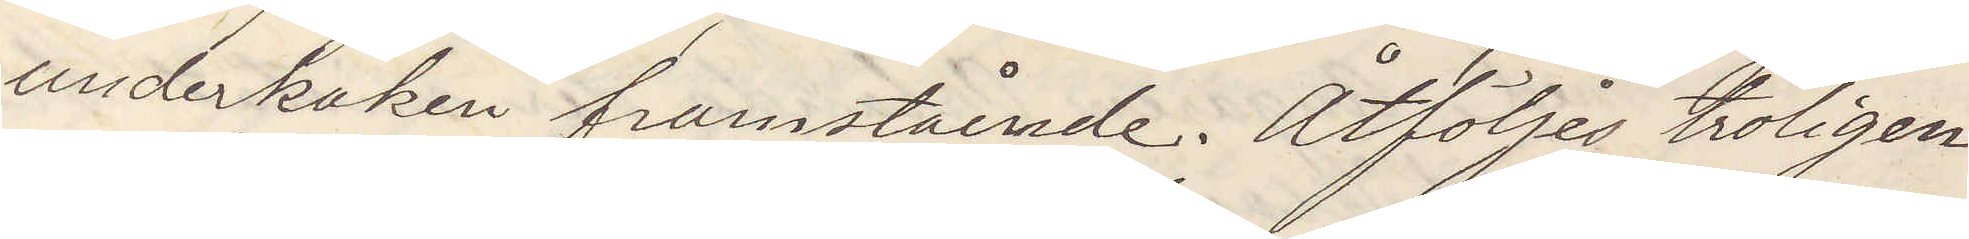underkäken framstående. Åtföljdes troligen
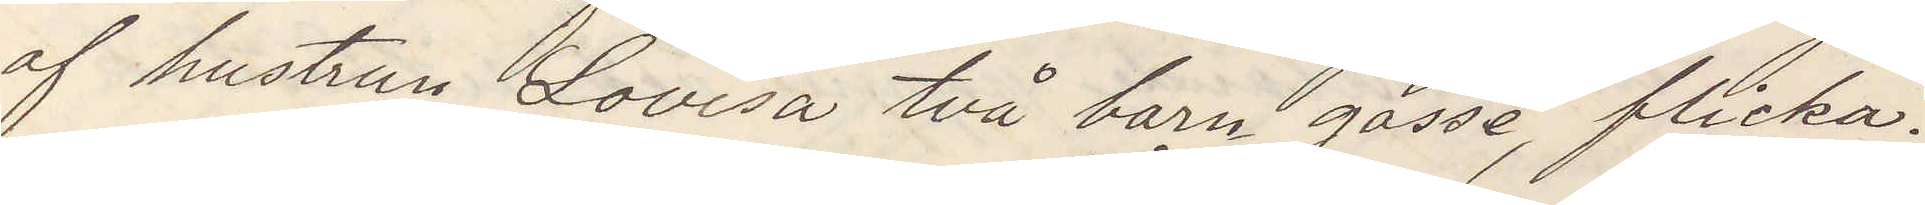af hustrun Lovisa två barn gosse, flicka.
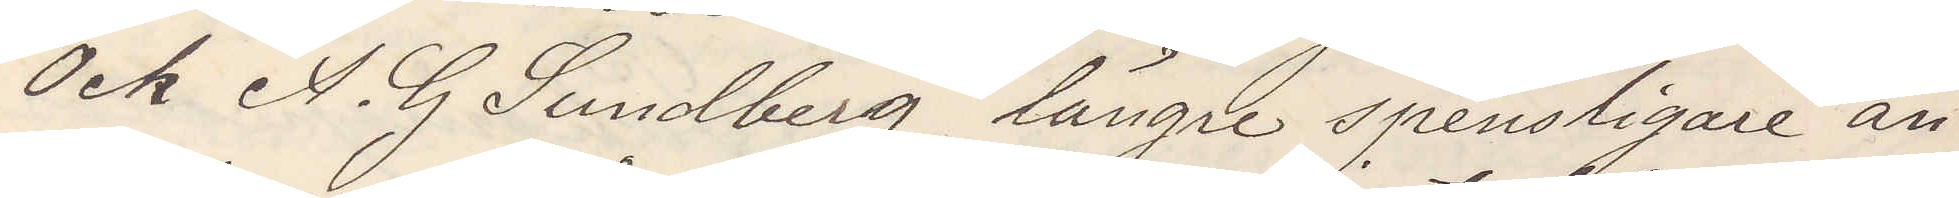Och A. G. Sundberg, längre spensligare än
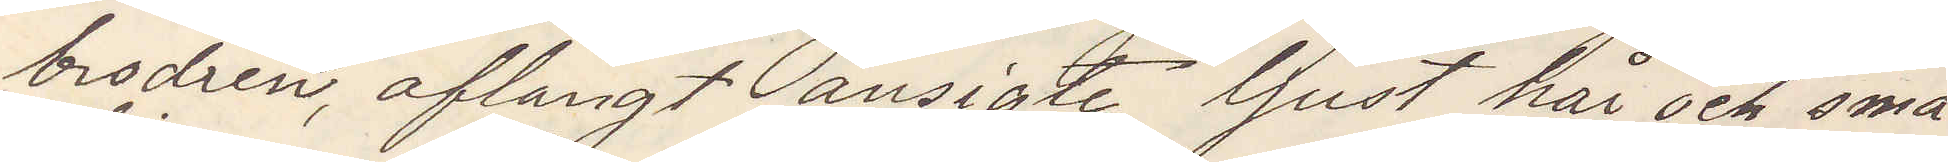brodren, aflångt ansigte, ljust hår och små
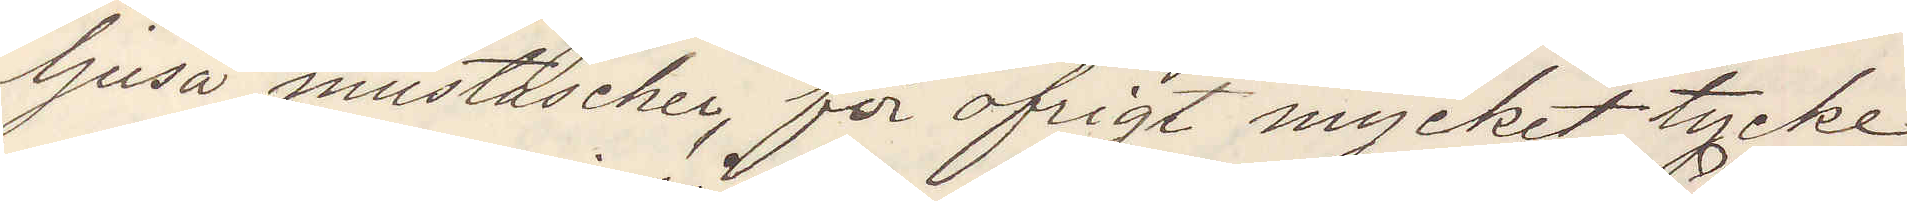ljusa mustascher, för öfrigt mycket tycke
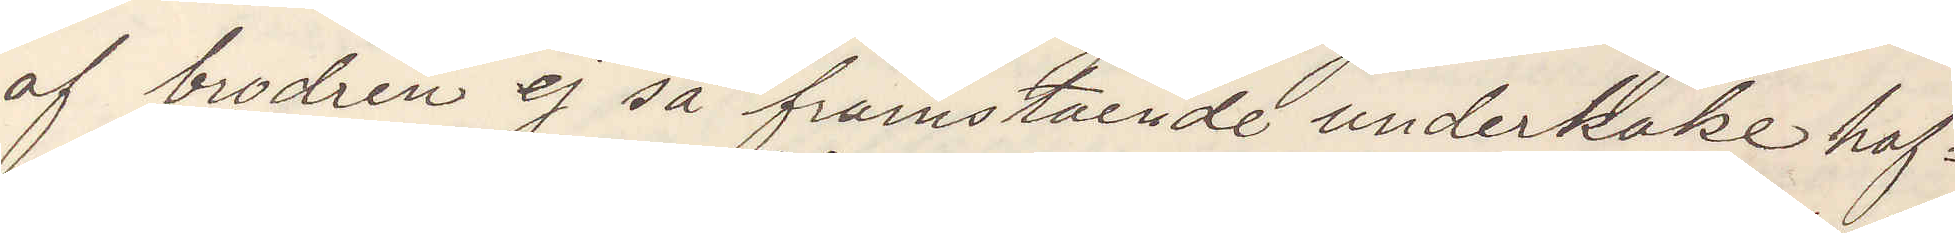af brodren ej så framstående underkäke haf¬
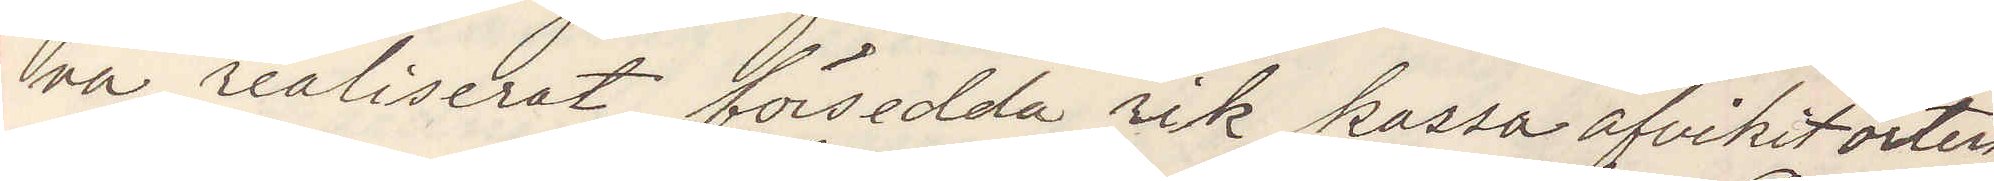va realiserat försedda rik kassa afvikit orten
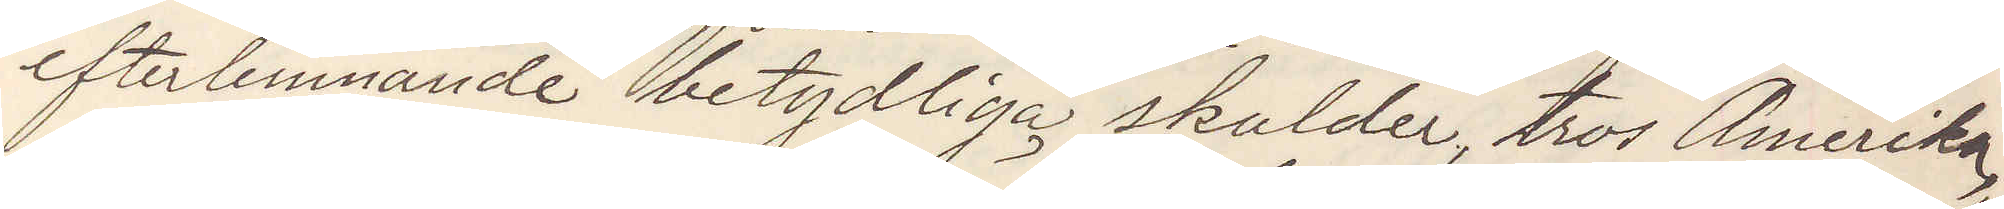efterlemnande betydliga skulder, tros Amerika
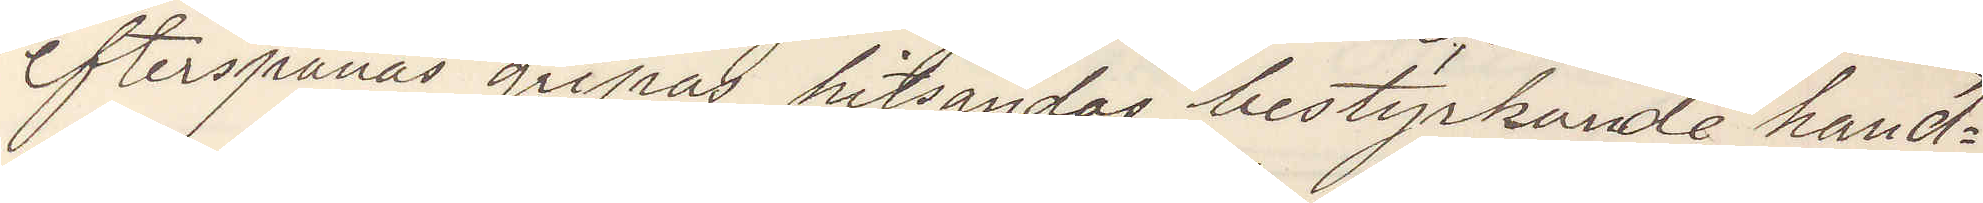efterspanas gripas hitsändas bestyrkande hand¬
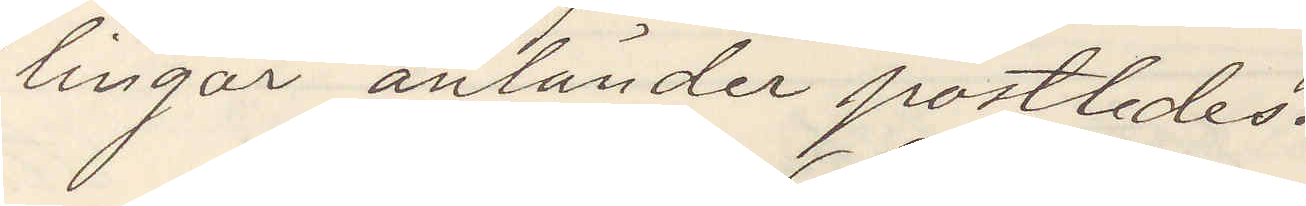lingar anländer postledes.
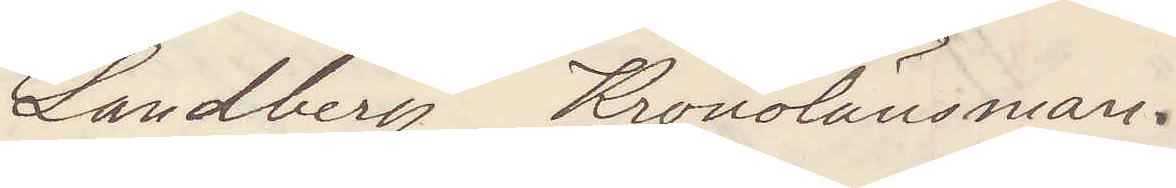Landberg Kronolänsman.
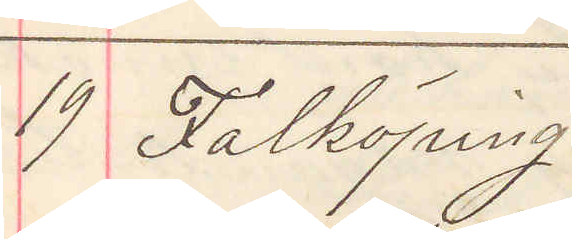19 Falköping
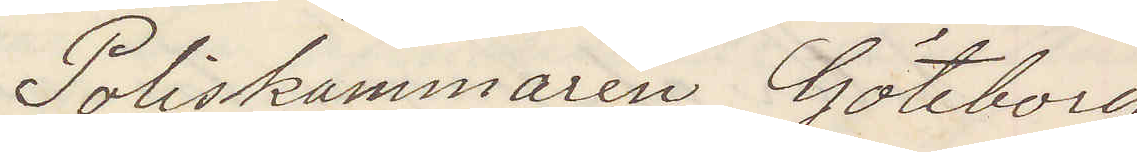Poliskammaren Göteborg
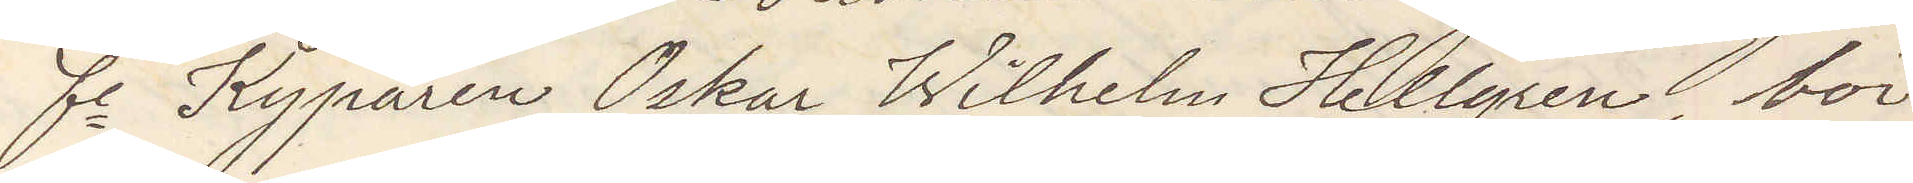fe Kyparen Oskar Wilhelm Hellgren, bör
